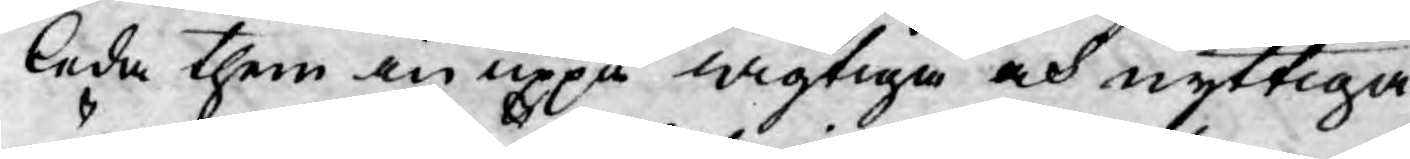leda them in uppå wigtiga och nyttiga
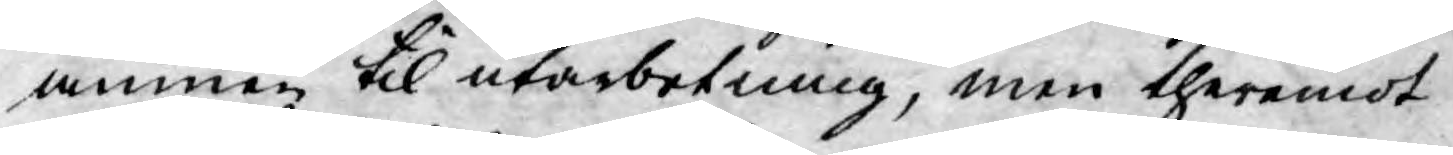ämnen til utarbetning, men theremot
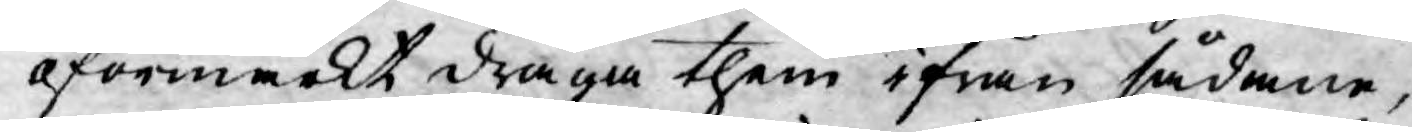oförmärkt draga them ifrån sådane,
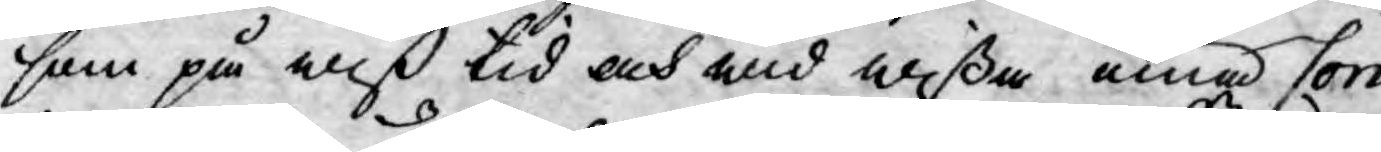som på wiß tid och wid wißa öma Con¬
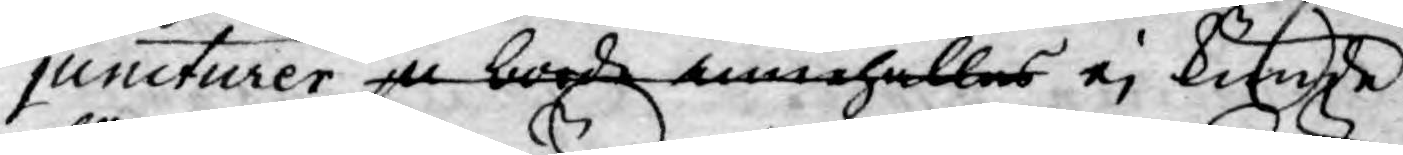juncturer ju borde innehålles ej kunde
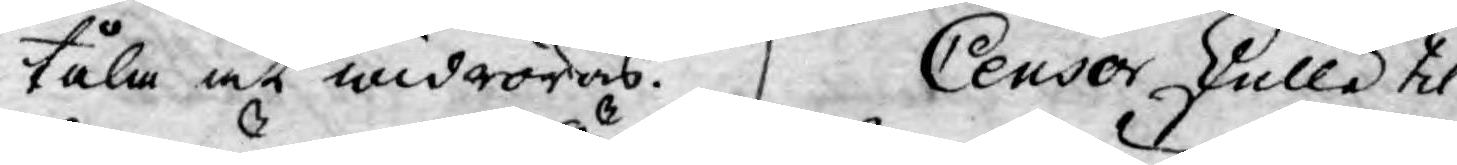tåla at widröras. Censor skulle til
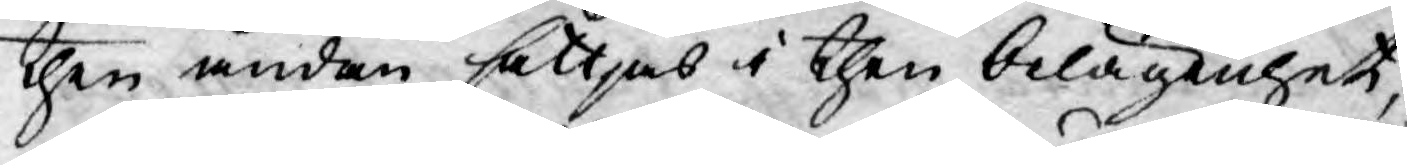then ändan sättjas i then belägenhet,
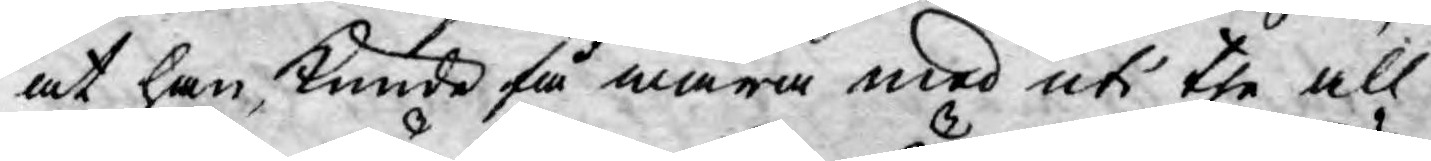at han kunde få wara med uti the all¬
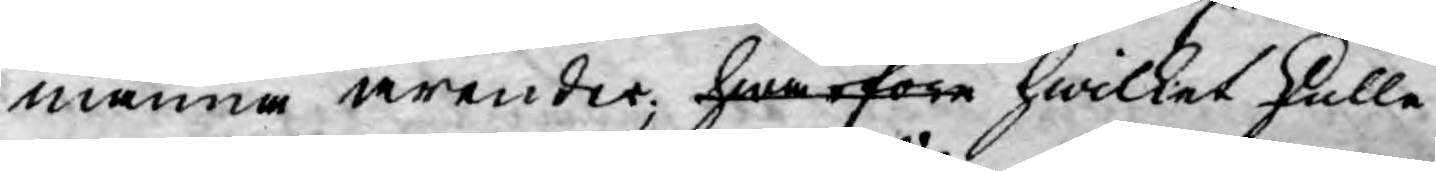männa ärender, hwarföre hwilket skulle
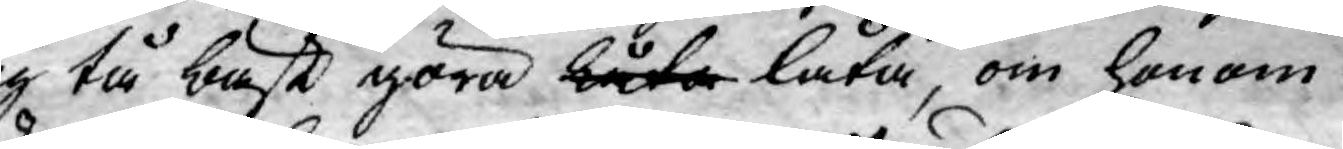sig tå bäst göra låta låta, om honom
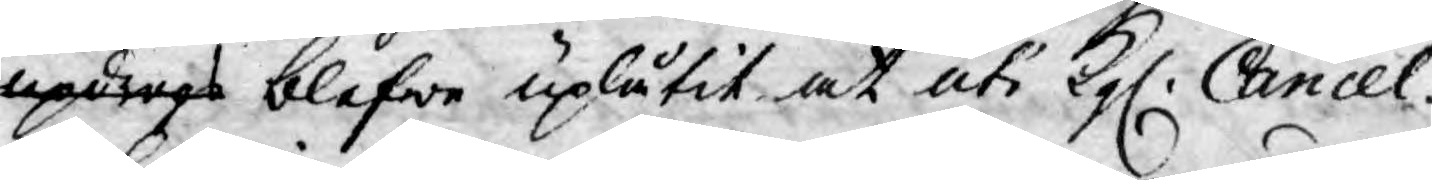updrogs blefwe uplåtit at uti Kgl. Cancel¬
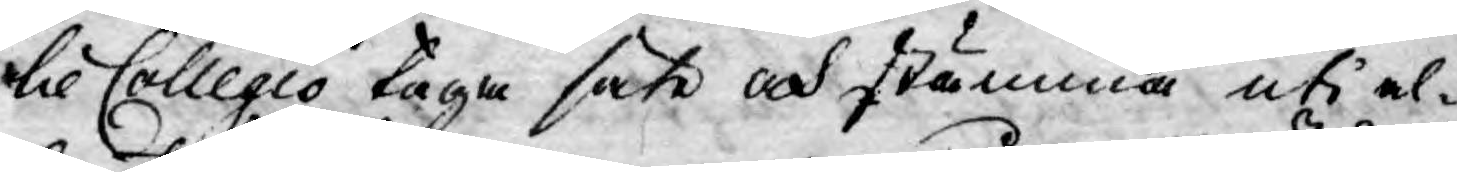lie Collegio taga säte och stämma uti al¬
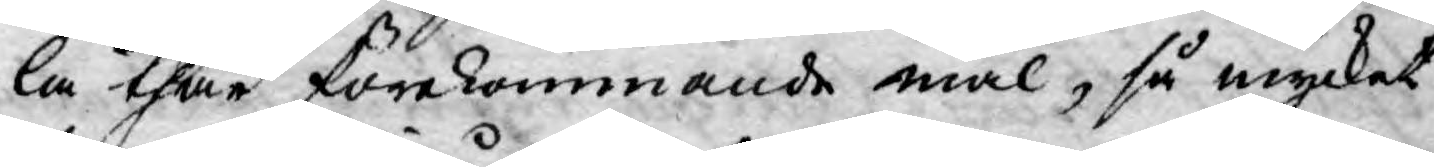la thär förekommande mål, så mycket
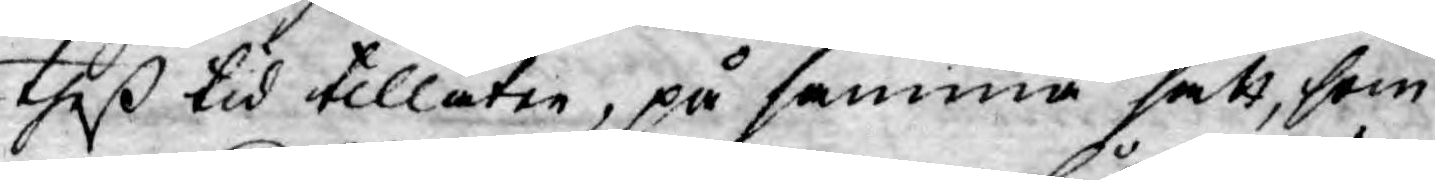theß tid tillåter, på samma sätt, som
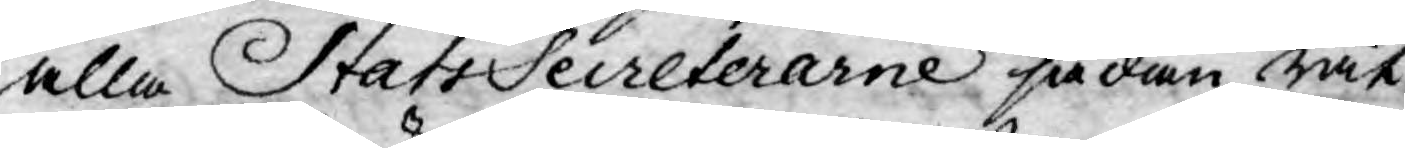alla StatsSecreterarne sådan rät¬
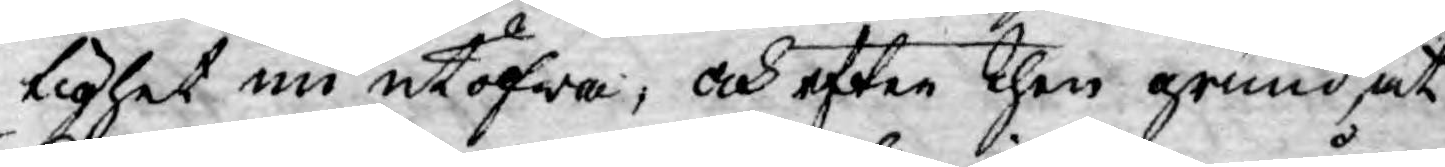tighet nu utöfwa, och efter then grund, at
